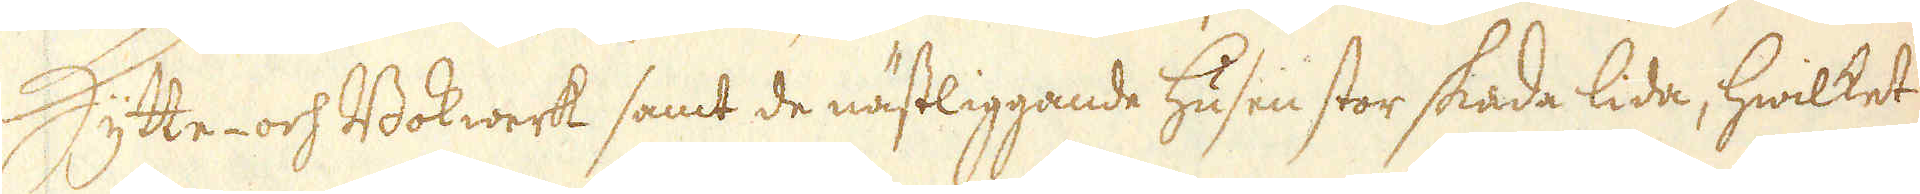Hytte- och Bokwerk samt de nästliggande husen stor skada lida, hwilket
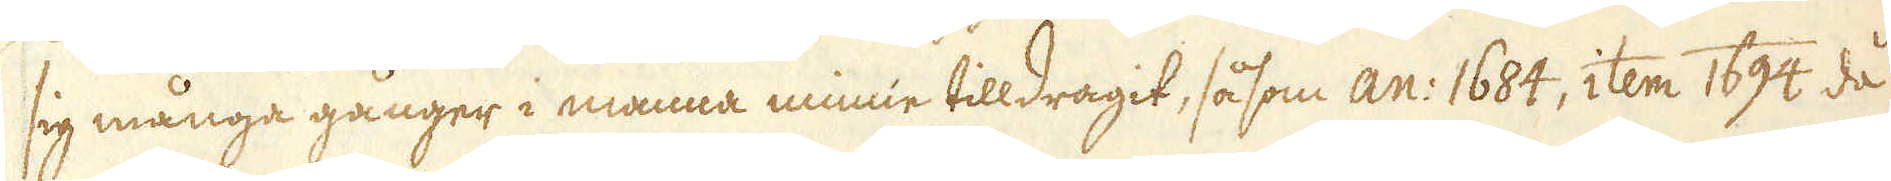sig många gånger i manna minne tilldragit, såsom an: 1684, item 1694 då
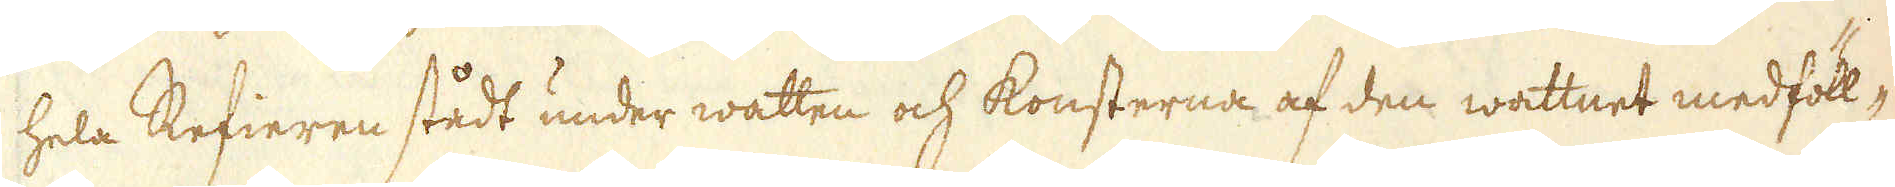hela Refieren stådt under watten och konsterna af den wattnet medföll-
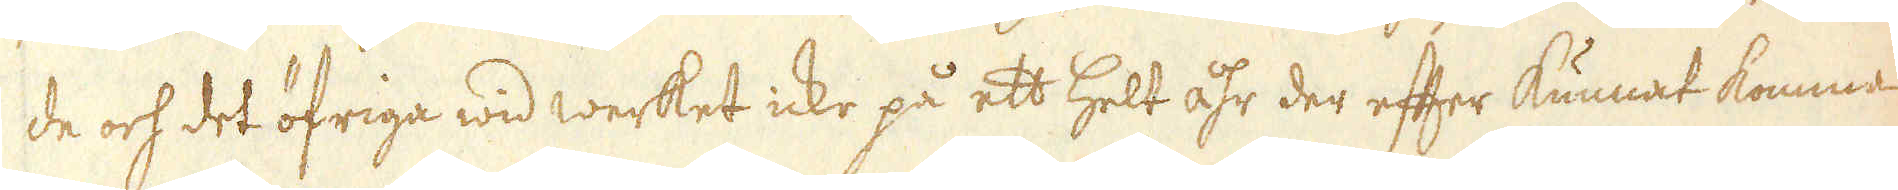de och det öfriga wid werket icke på ett helt åhr der efter kunnat komma
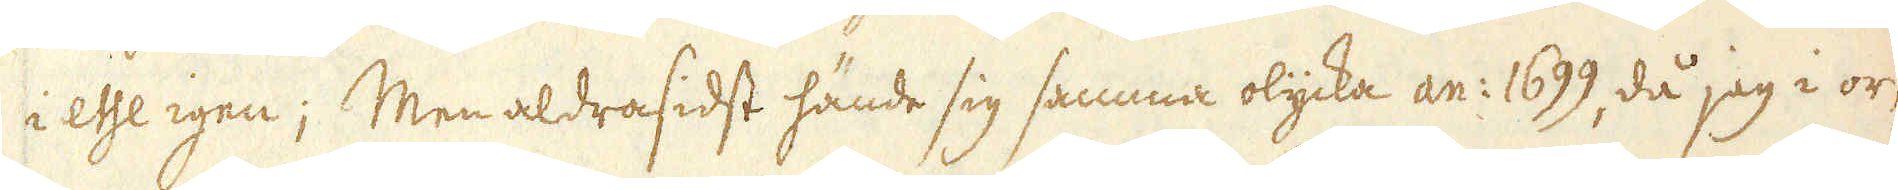i esse igen; Men aldrasidst hände sig samma olycka an: 1699, då jag i or-
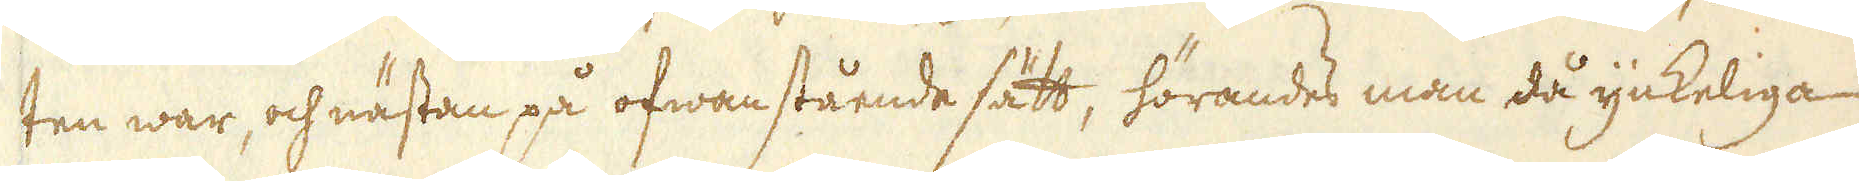ten war, och nästan på ofwanstående sätt, hörandes man då ynkeliga
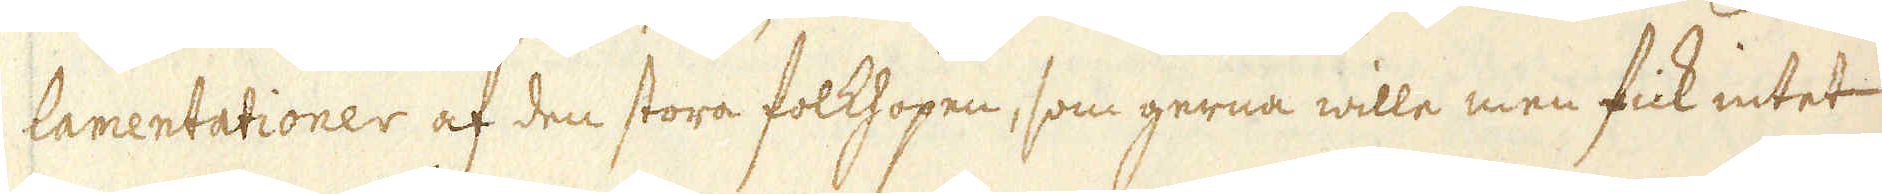lamentationer af den stora folkhopen, som gerna wille men fick intet
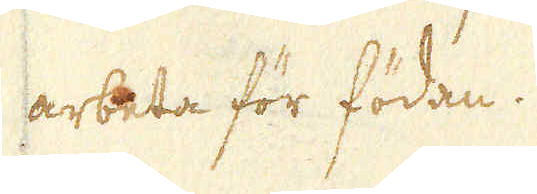arbeta för födan.
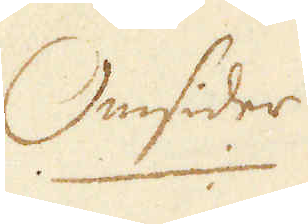Omsider
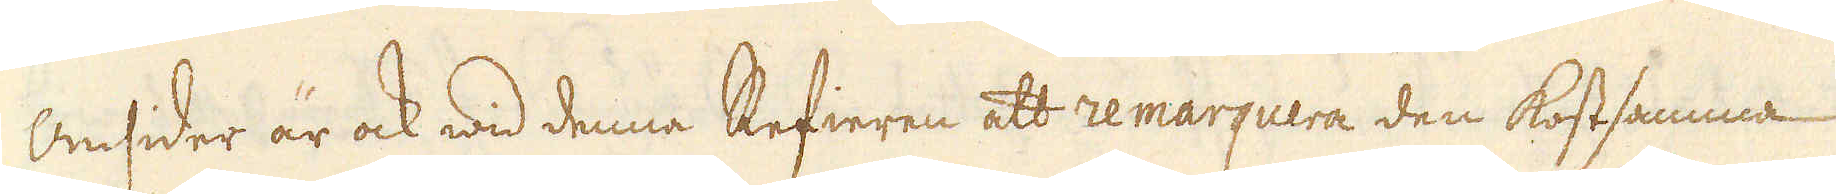Omsider är ock wid denna Refieren att remarquera den kostsamma
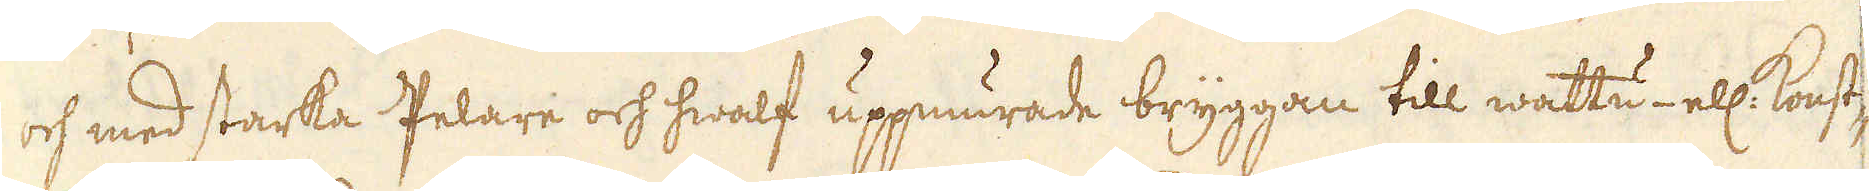och med starka Pelare och hwalf uppmurade bryggan till wattu- ell: konst-
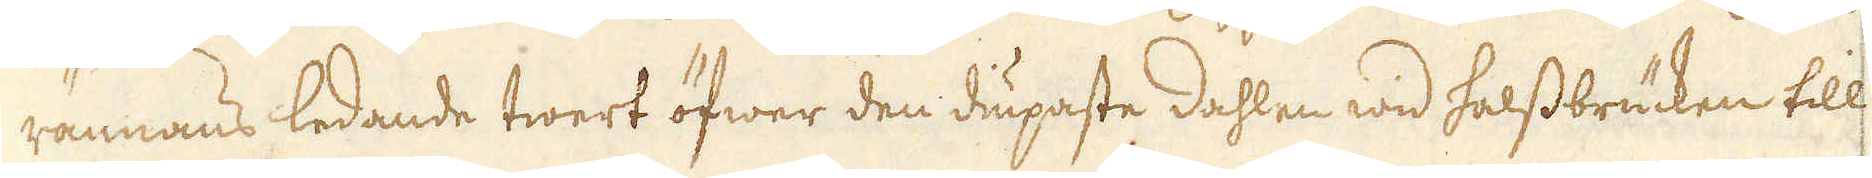rännans ledande twert öfwer den diupaste dahlen wid Halssbrücken till
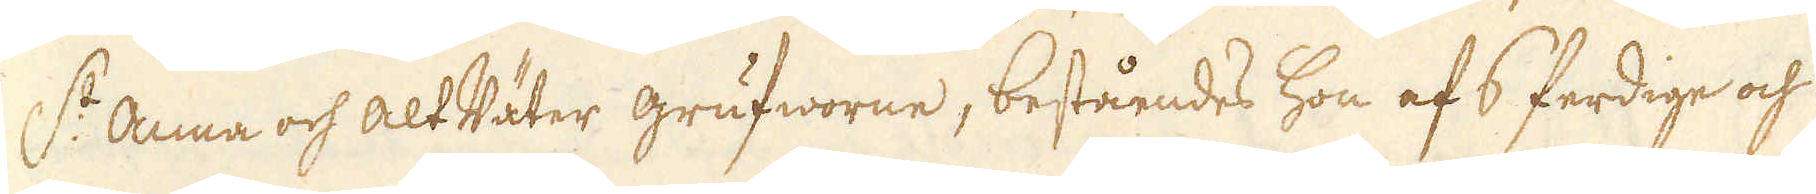S:t Anna och Alt Väter grufworne, beståendes hon af 6 ferdige och
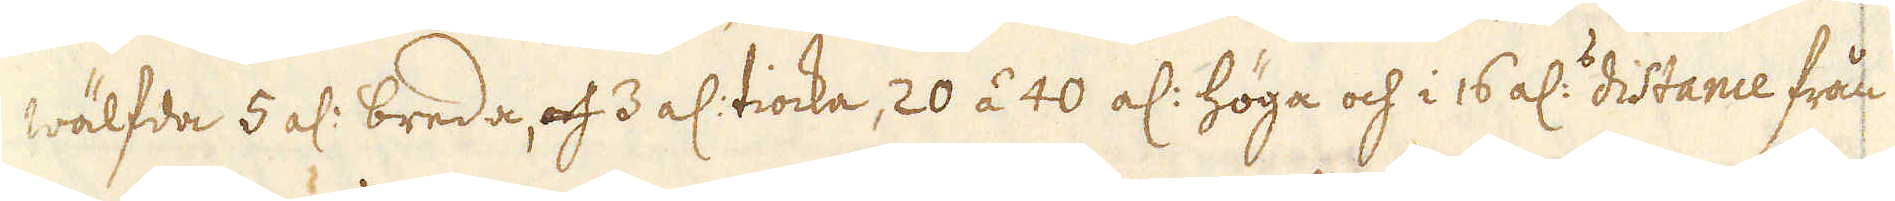wälfda 5 al: breda, och 3 al: tiocka, 20 á 40 al: höga och i 16 al:s distance från
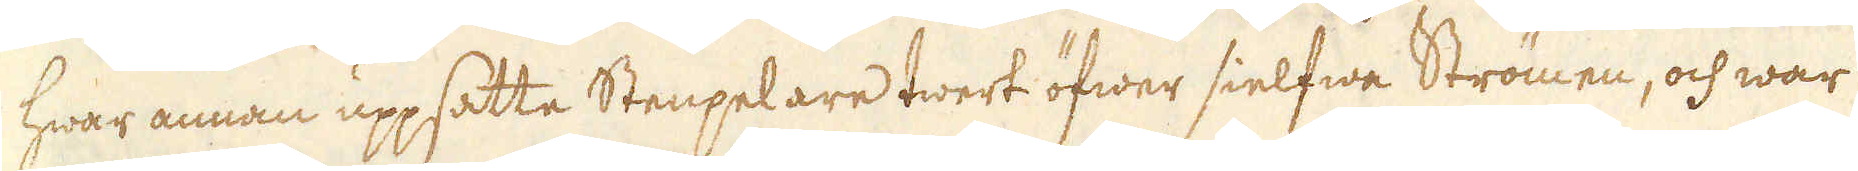hwar annan uppsatta Stenpelare twert öfwer sielfwa Strömen, och war
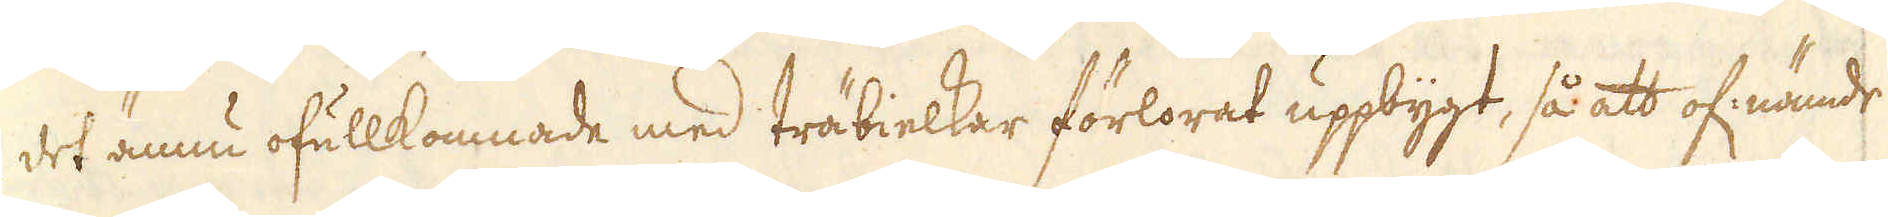det ännu ofullkomnade med träbielkar förlorat uppbygt, så att of:nämde
